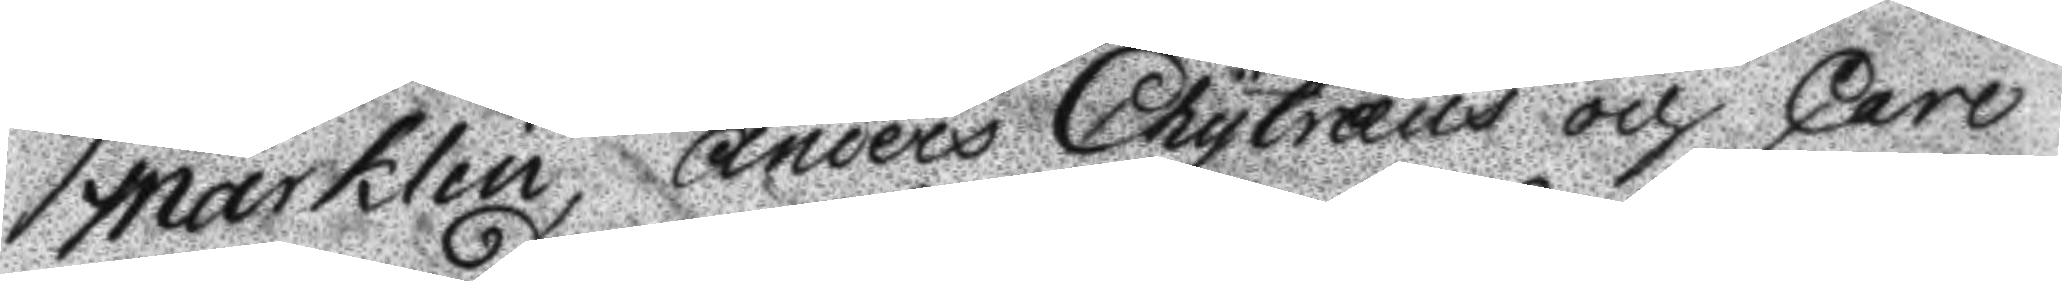Marklein, Anders Chytræus och Carl
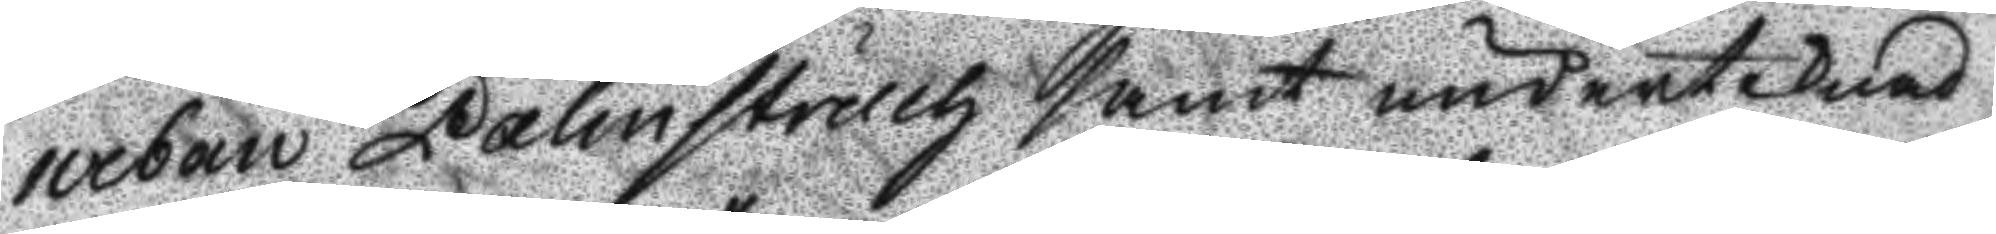urban Palmstruch samt undertecknad
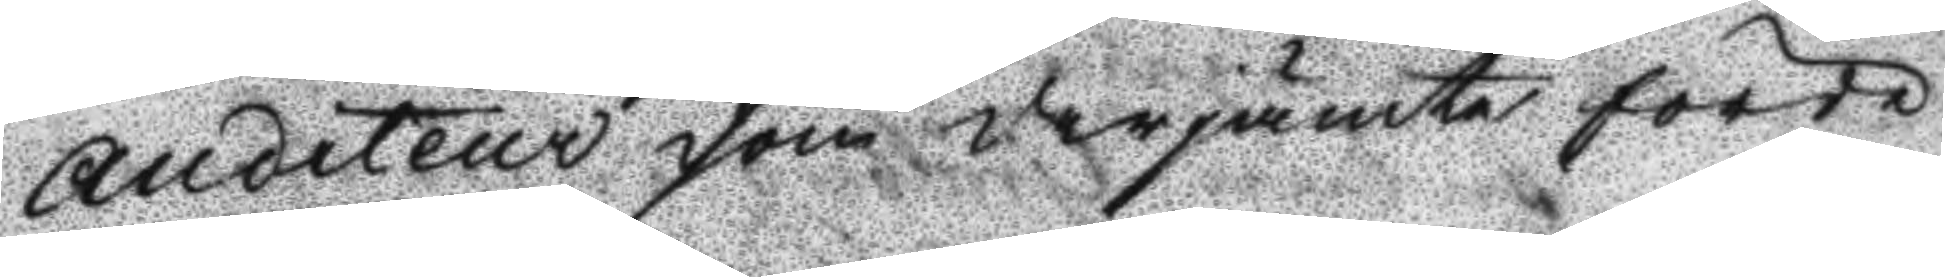Auditeur som derjämte förde
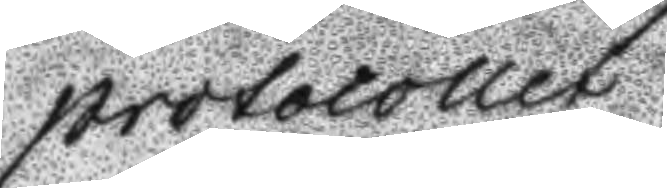protocollet
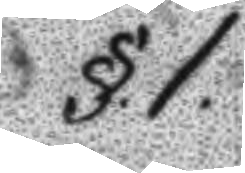§.1.
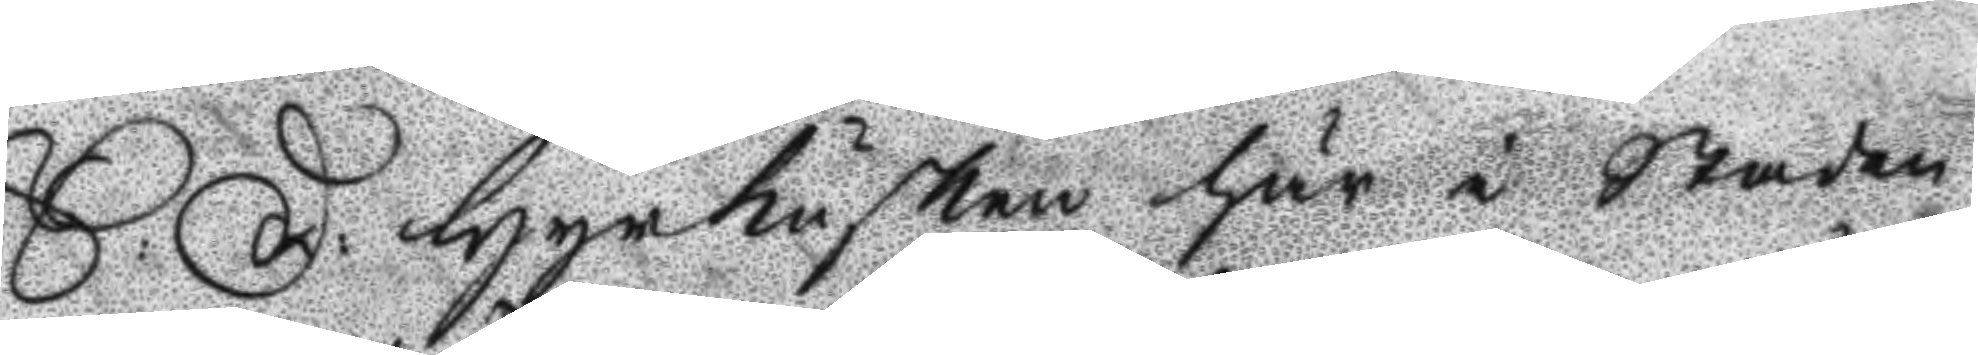S: D: Hyrkusken här i Staden 
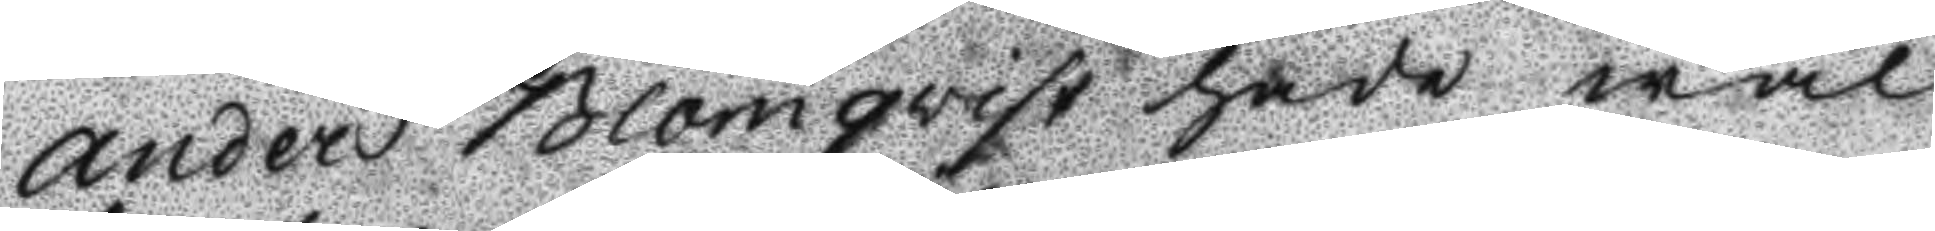Anders Blomqvist hade wäl
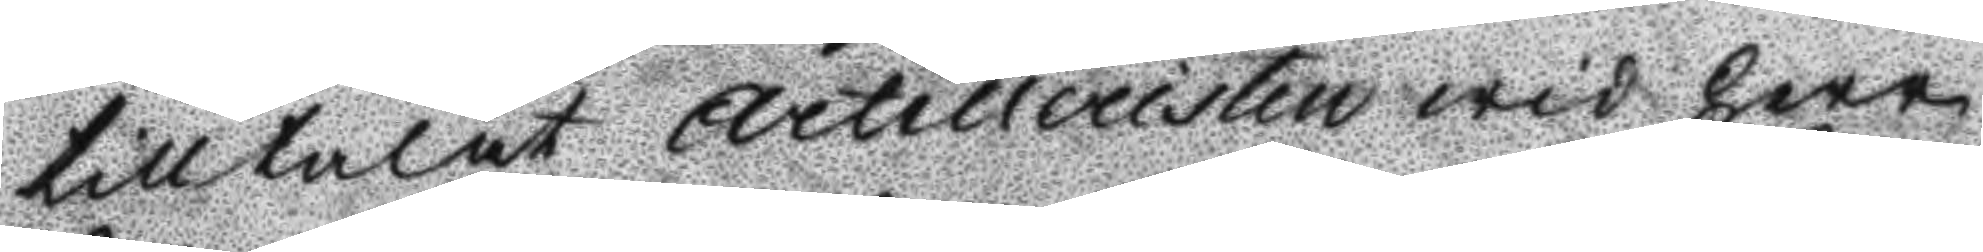tilltalat Artilleristen wid Herr
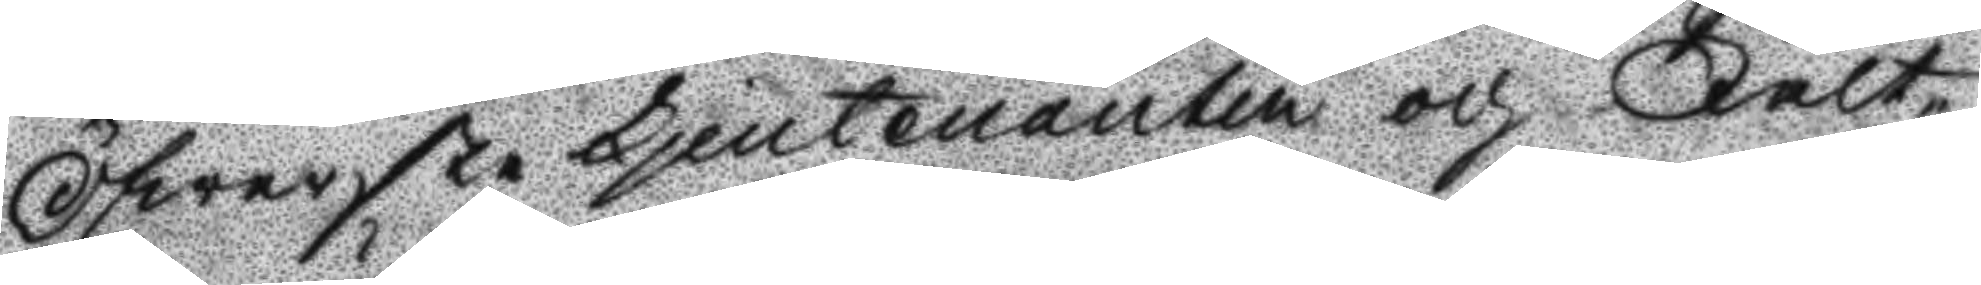Öfwersten Ljeutenanten och Fält¬
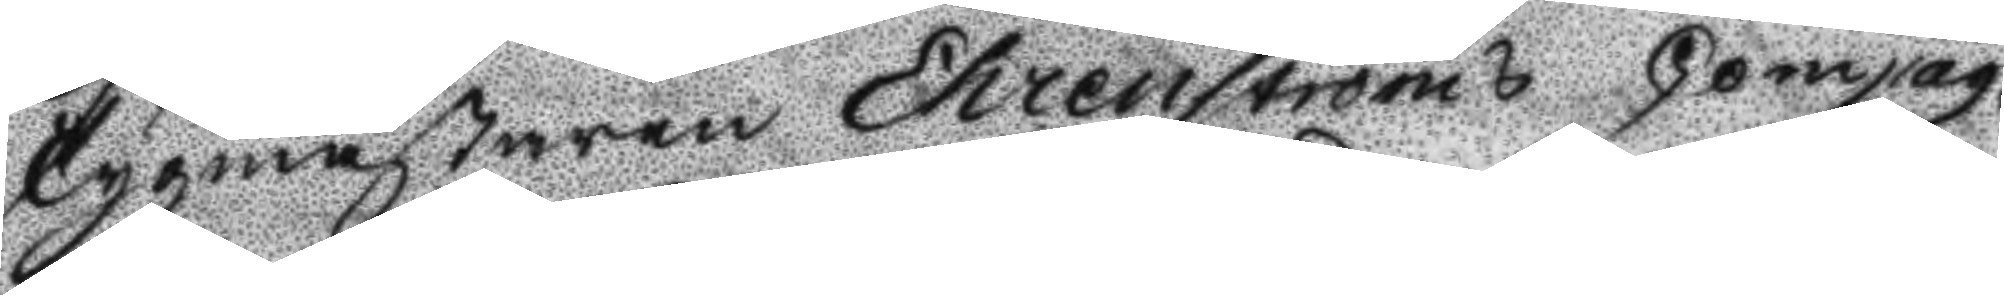tygmästaren Ehrenströms Compag¬
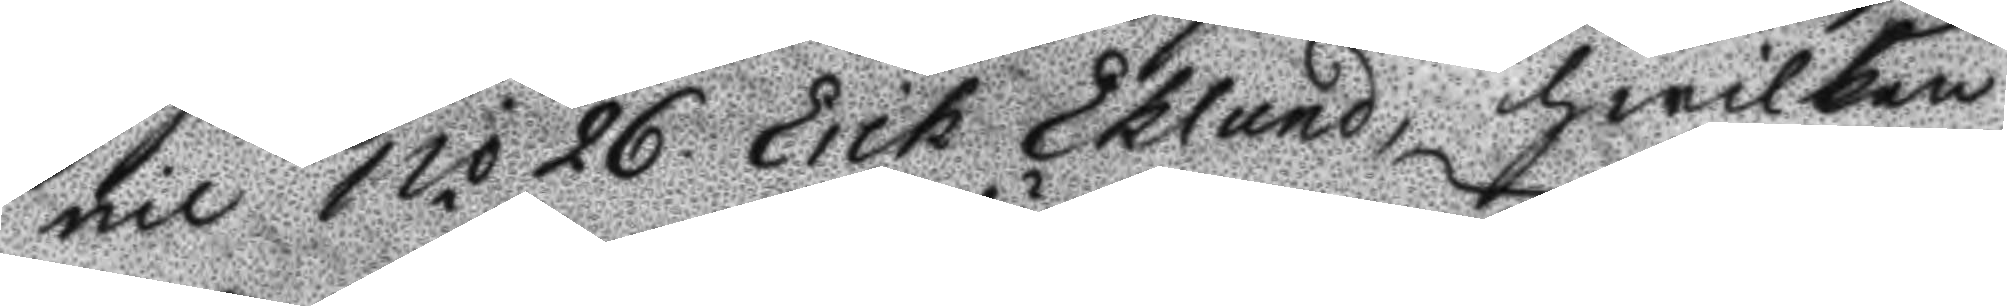nie N.o 26 Erik Eklund, hwilken
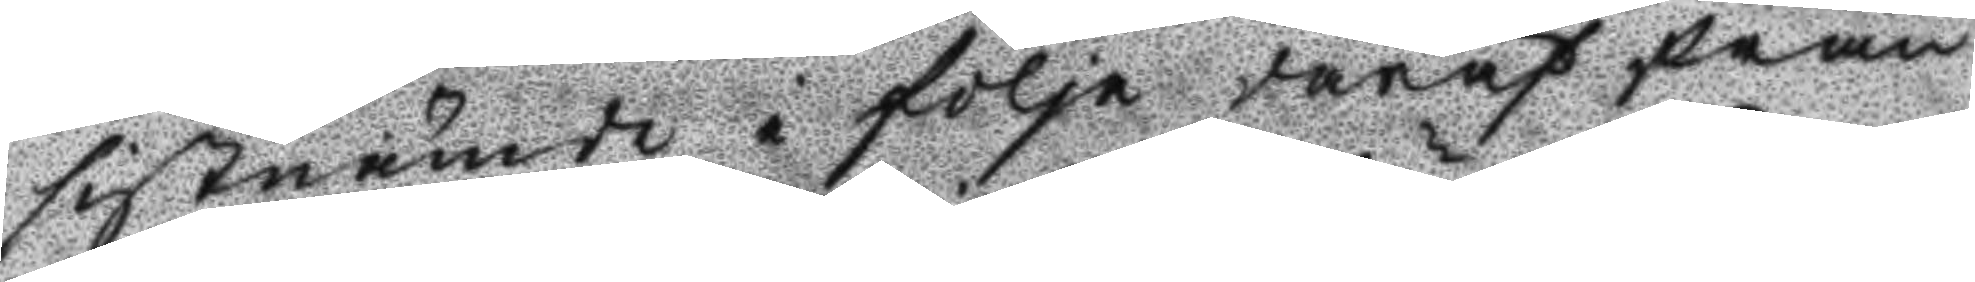sistnämde i följe däraf från
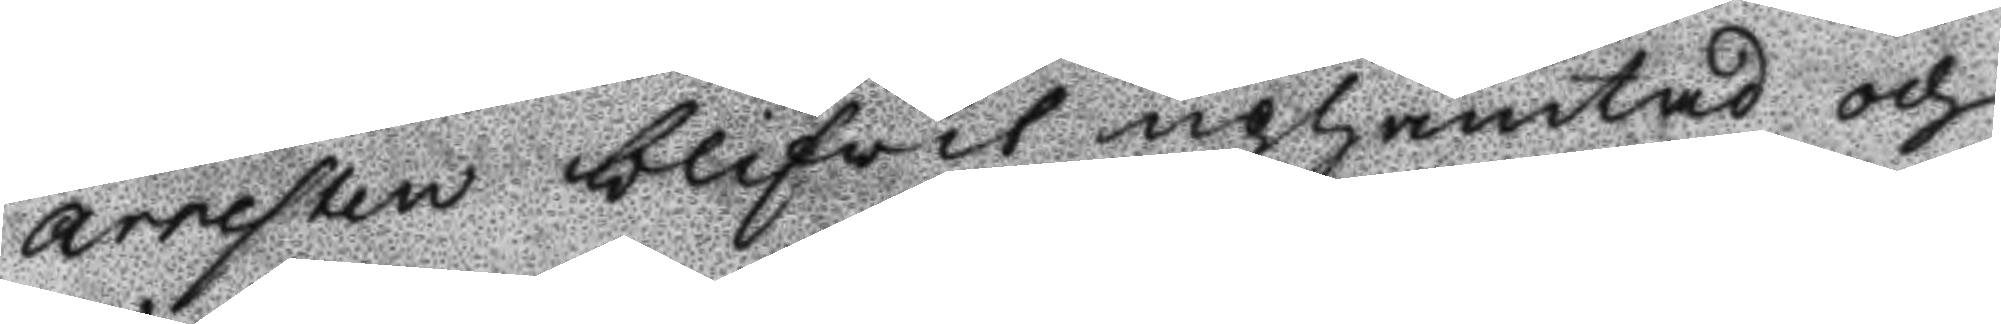arresten blifwit uphämtad och
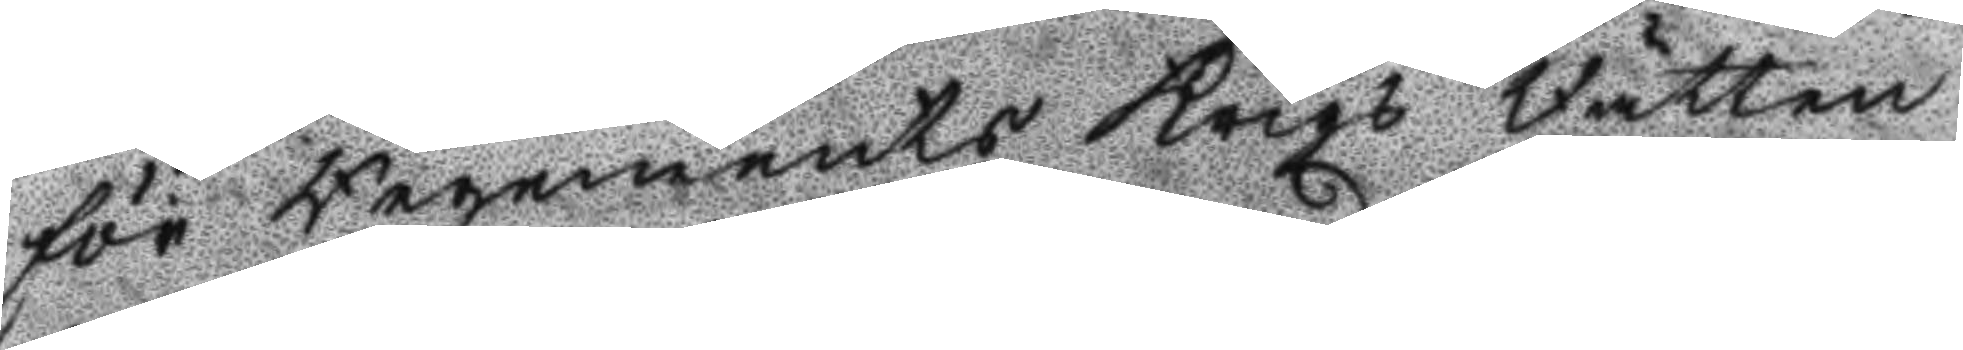för Regements Krigs Rätten
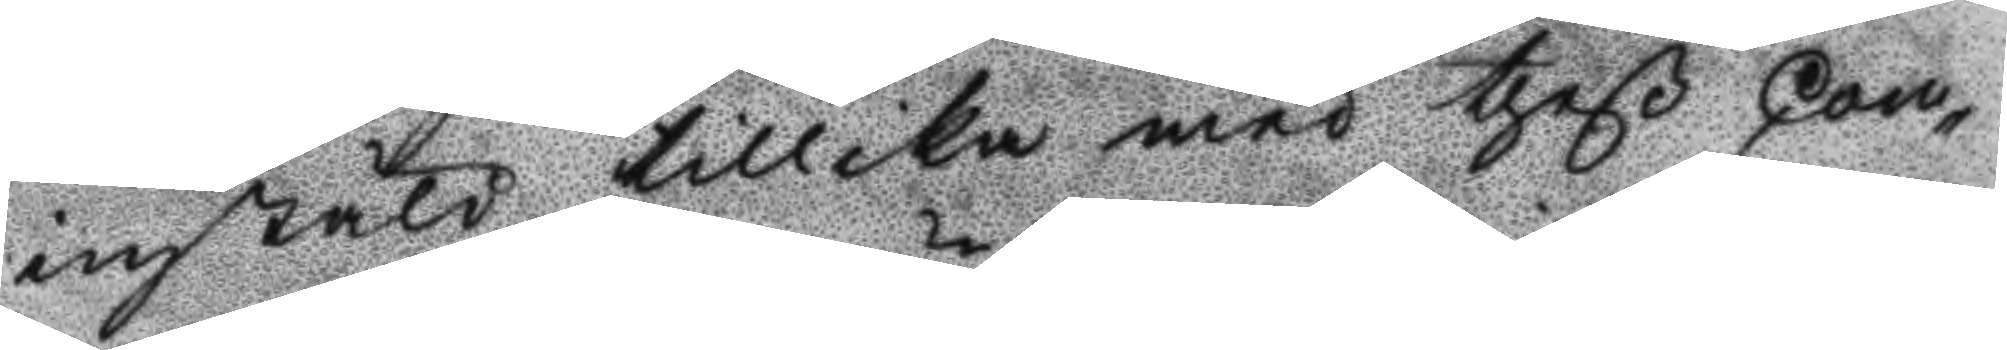instäld tillika med theß Com¬
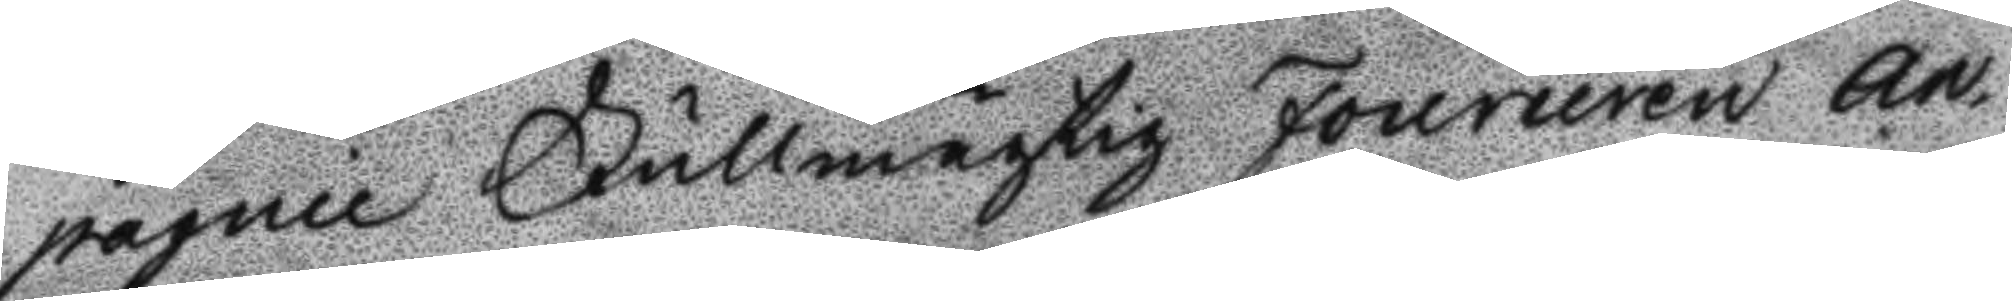pagnie Fullmägtig Fourirern An¬
